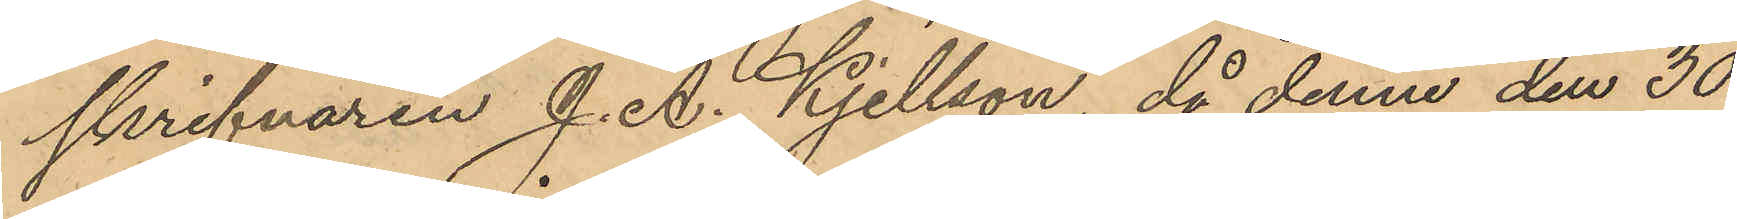skrifvaren J. A. Kjellson, då denne den 30
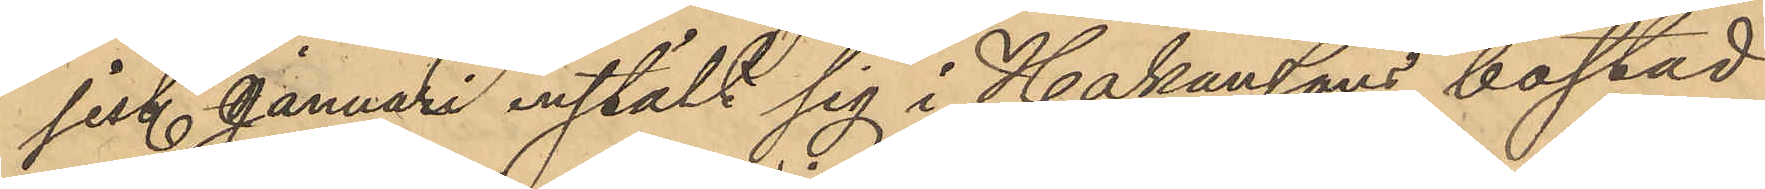sist. Januari instält sig i Hakanssons bostad
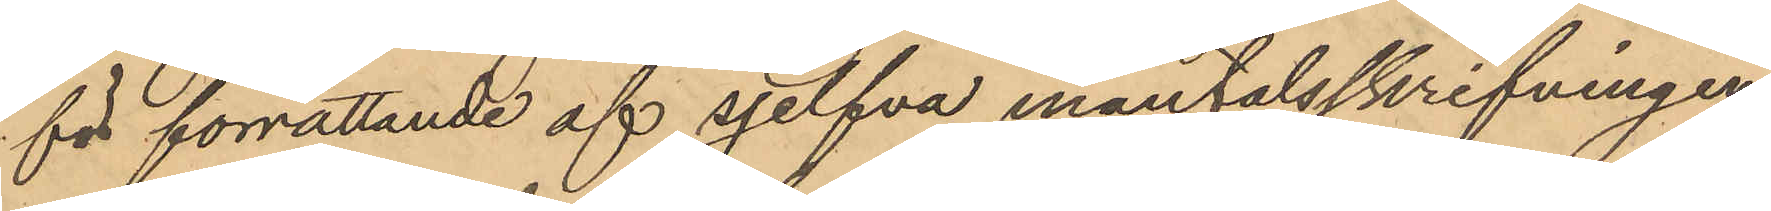för förrättande af sjelfva mantalsskrifningen
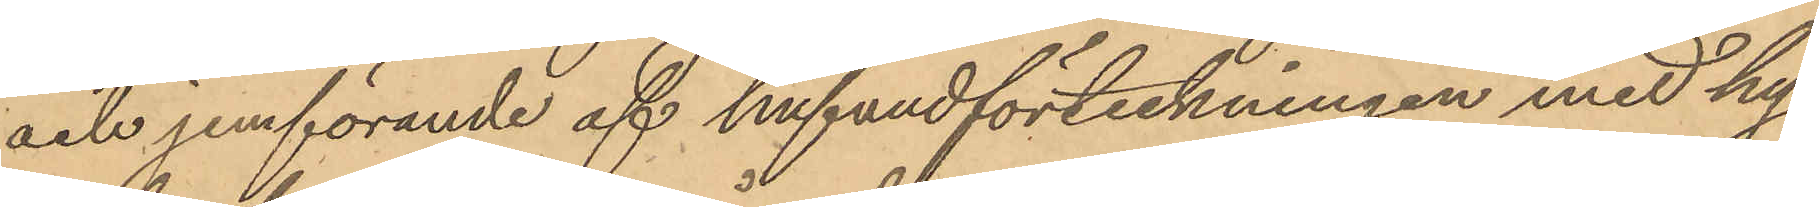och jemförande af hufvudförteckningen med hy¬
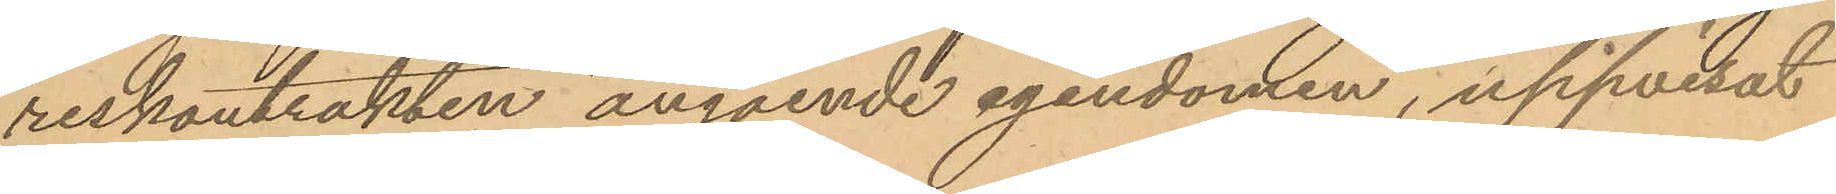reskontrakten angående egendomen, uppvisat
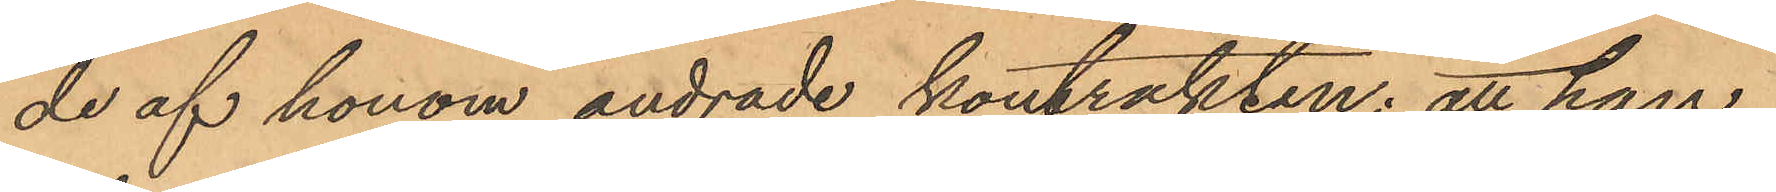de af honom ändrade kontrakten; att han
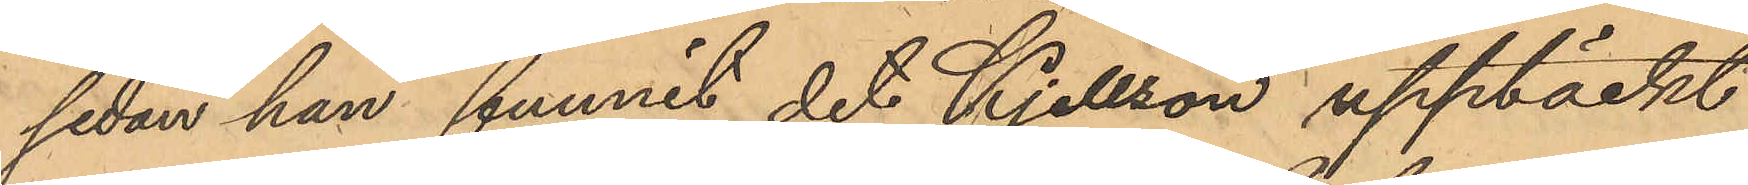sedan han funnit det Kjellson upptäckt
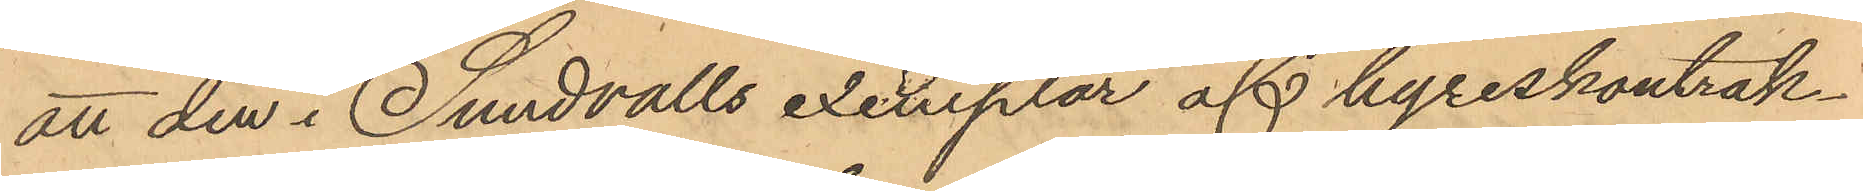att den i Sundvalls exemplar af hyreskontrak¬
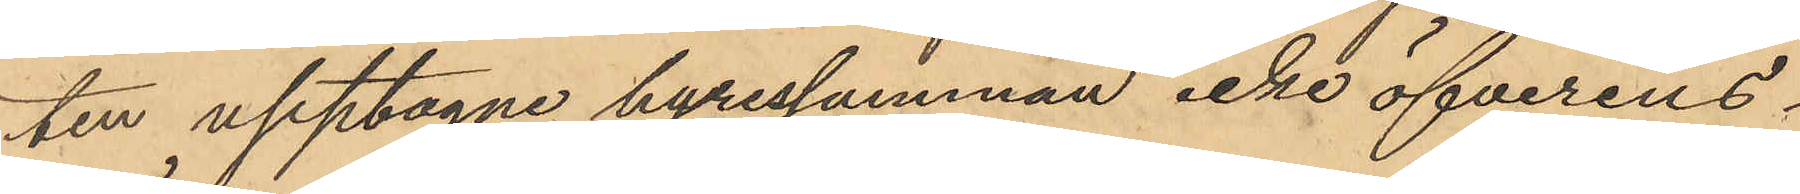ten upptagne hyressumman icke öfverens¬
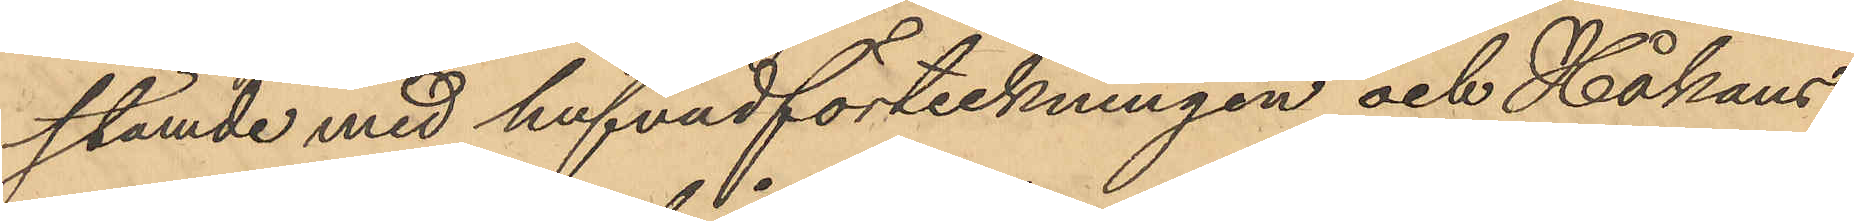stämde med hufvudförteckningen och Håkans¬
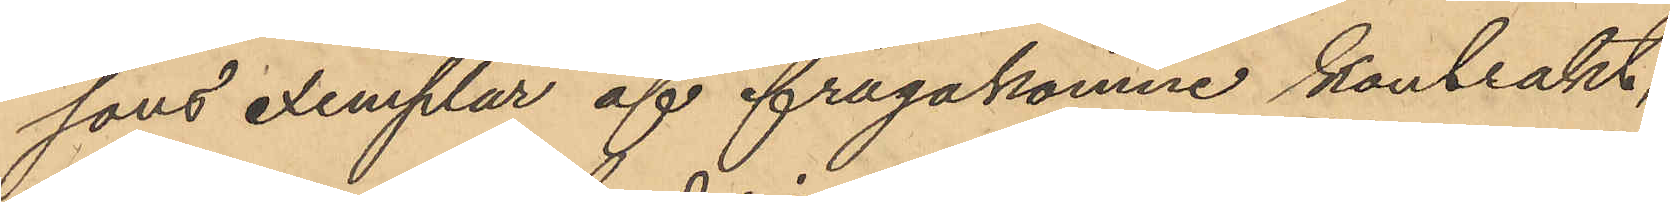sons exemplar af ifrågakomne kontrakt,
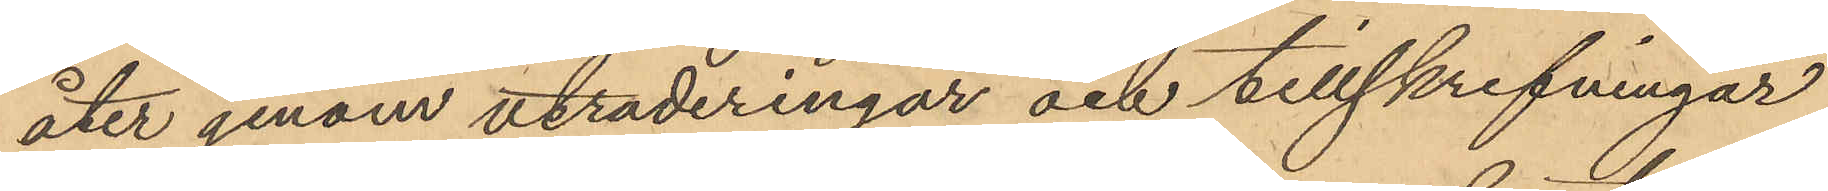åter genom utraderingar och tillskrifningar
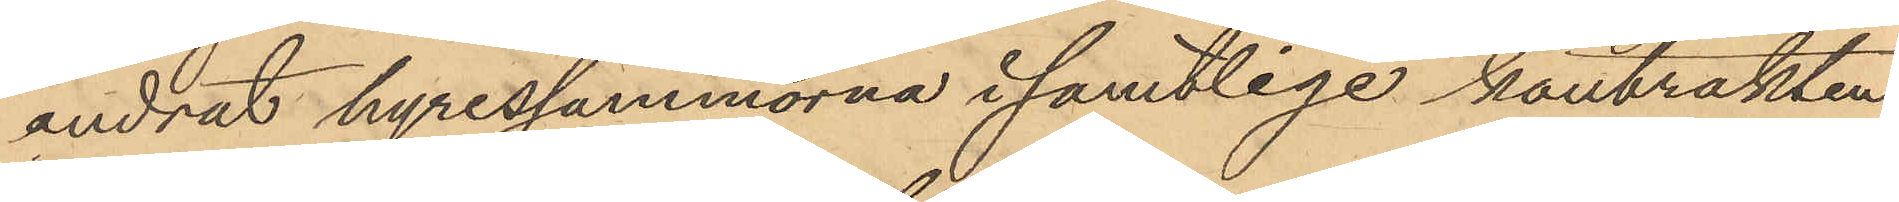ändrat hyressummorna i samtlige kontrakten
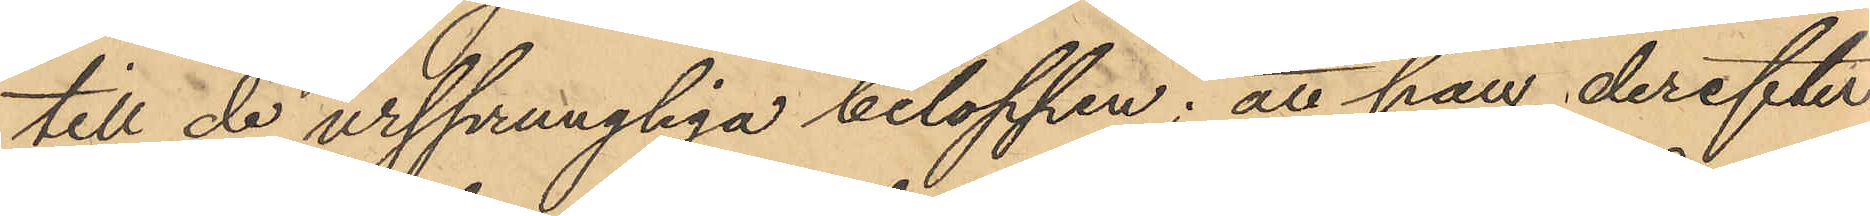till de ursprungliga beloppen; att han derefter
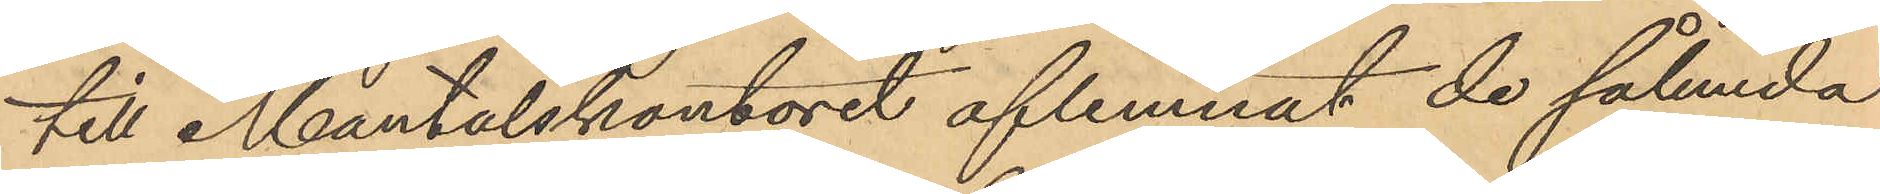till Mantalskontoret aflemnat de sålunda
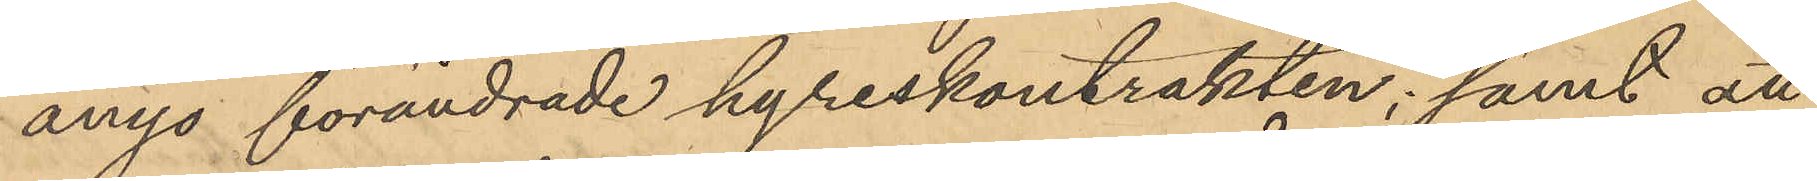ånyo förändrade hyreskontrakten; samt att
